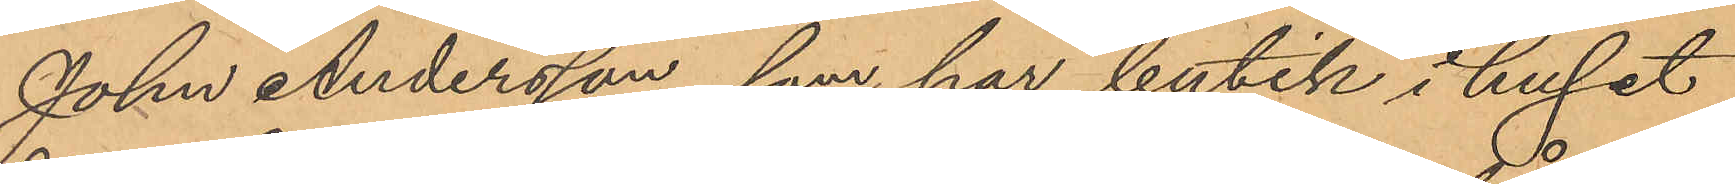John Andersson, som har butik i huset
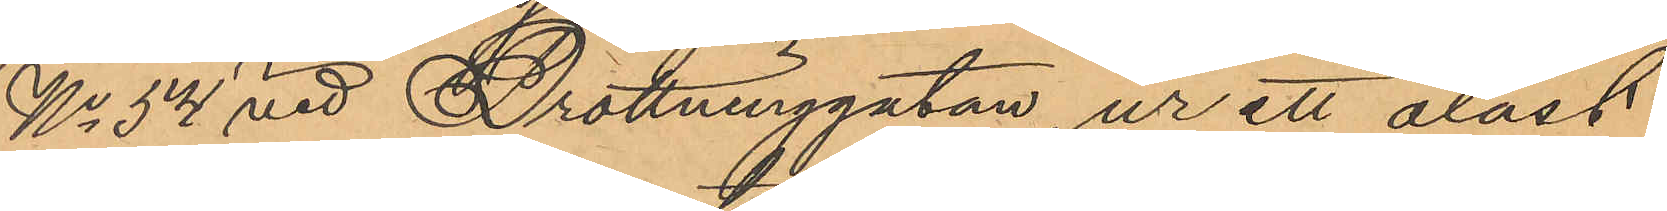No 54 vid Drottninggatan, ur ett olåst
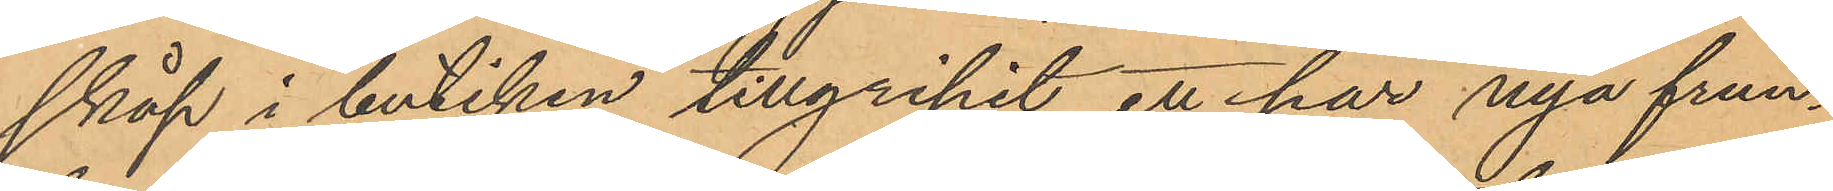skåp i butiken tillgripit ett par nya frun¬
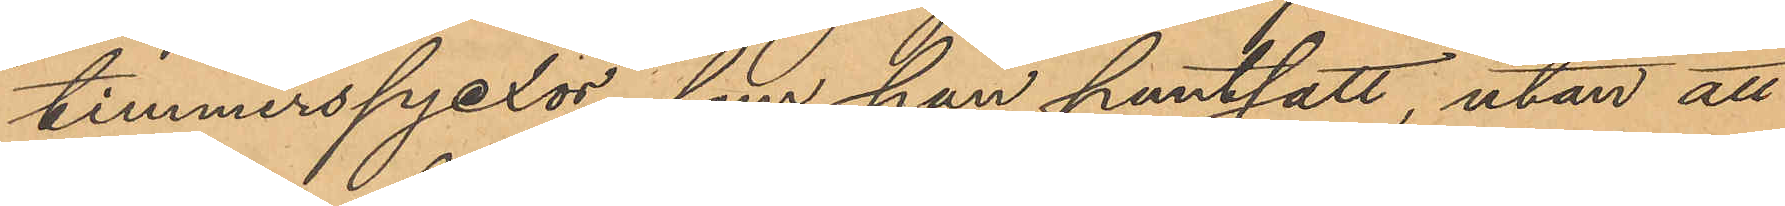timmerspjexor, som han pantsatt utan att
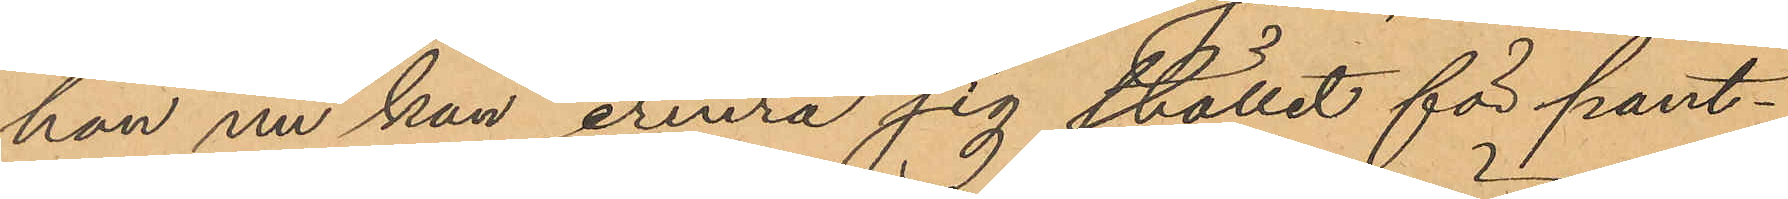han nu kan erinra sig stället för pant¬
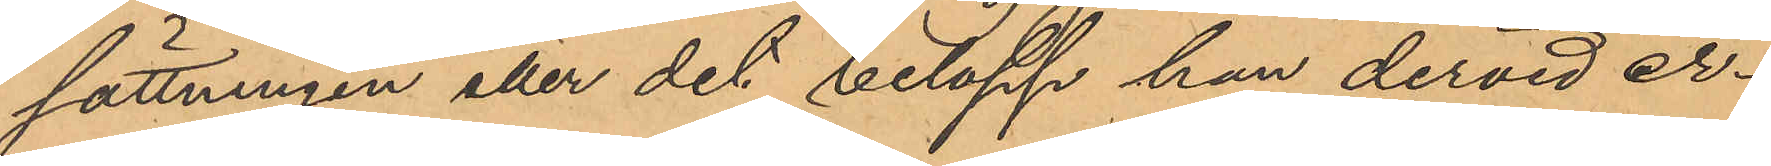sättningen eller det belopp han dervid er¬
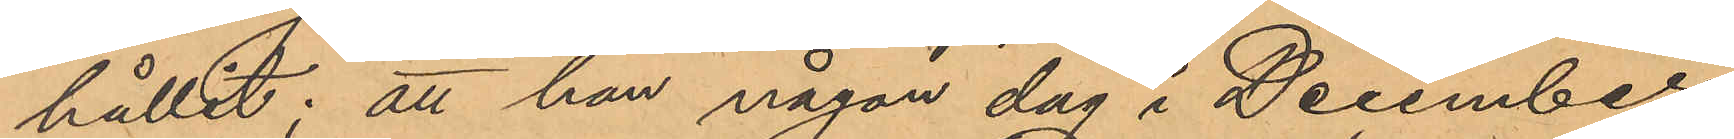hållit; att han någon dag i December
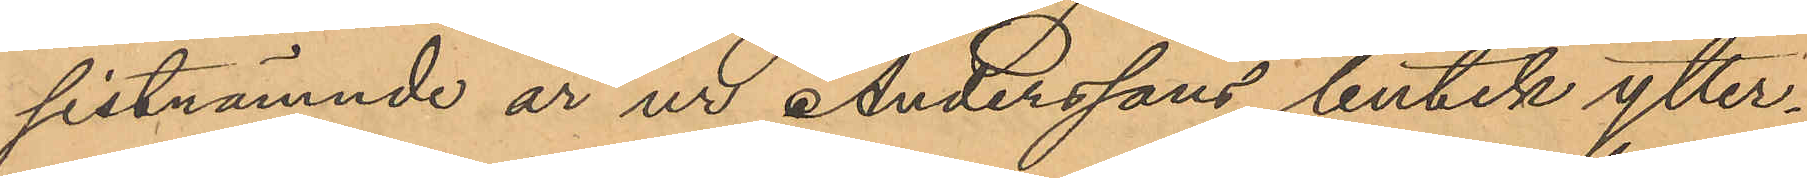sistnämnde år ur Anderssons butik ytter¬
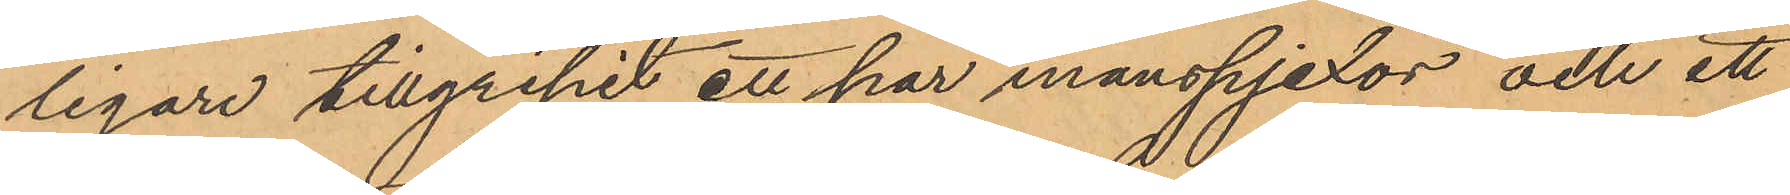ligare tillgripit ett par manspjexor och ett
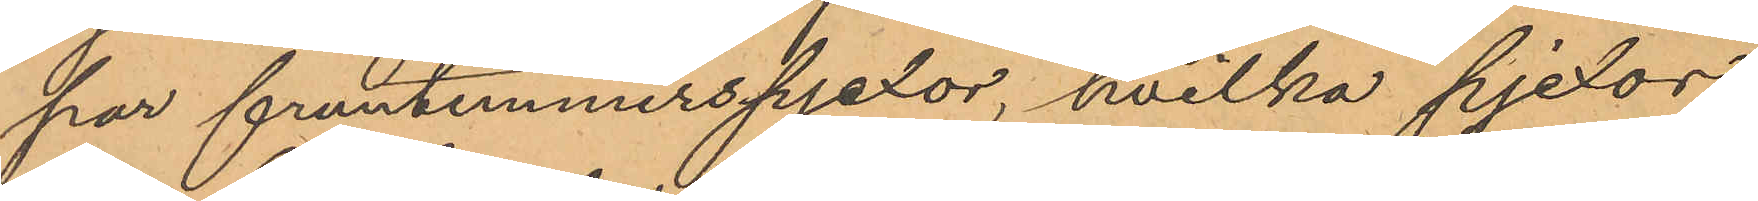par fruntimmerspjexor, hvilka pjexor
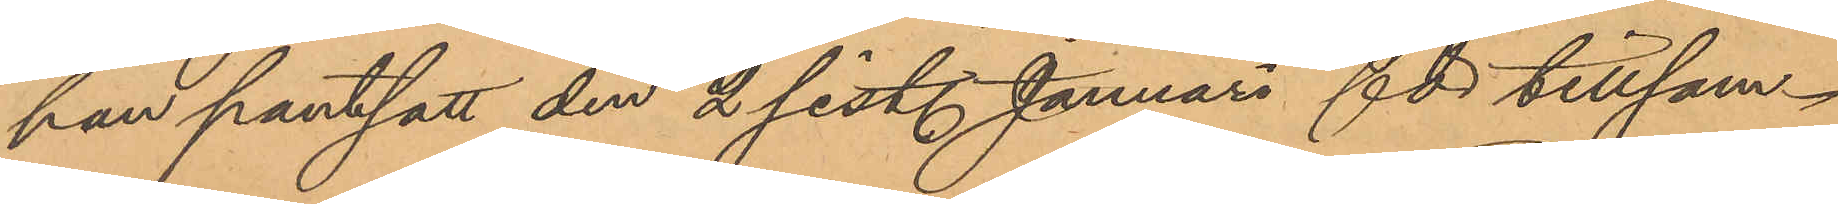han pantsatt den 2 sist. Januari för tillsam¬
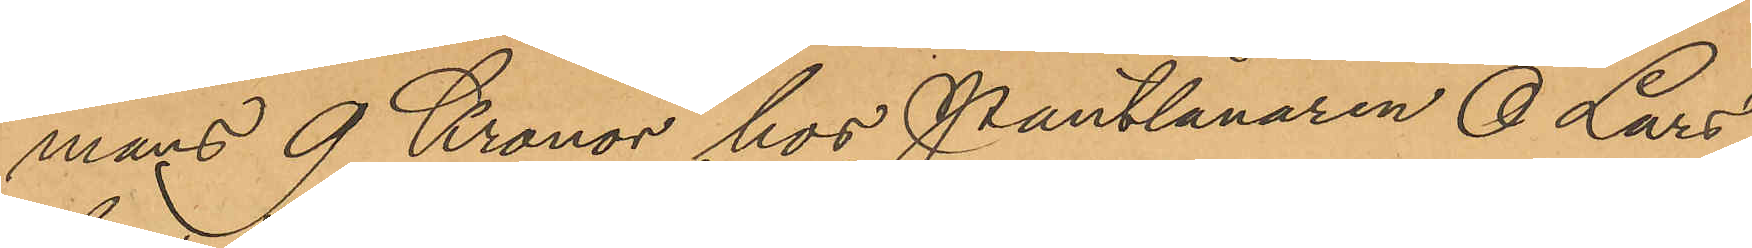mans 9 Kronor hos Pantlånaren O. Lars¬
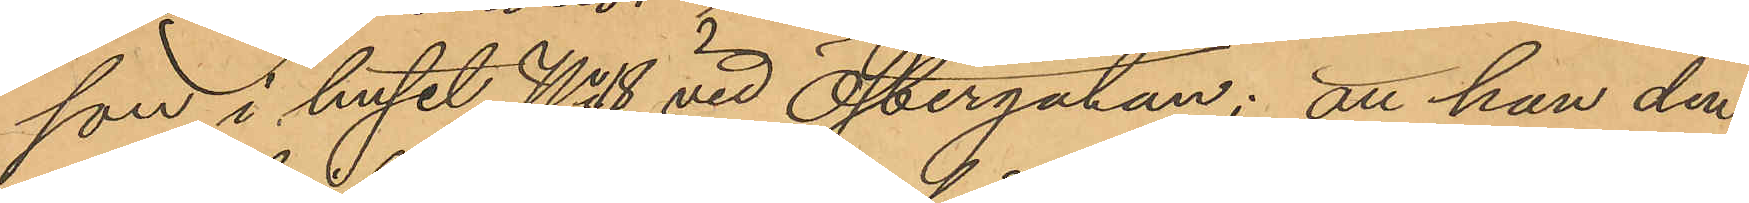son i huset No 8 vid Östergatan; att han den
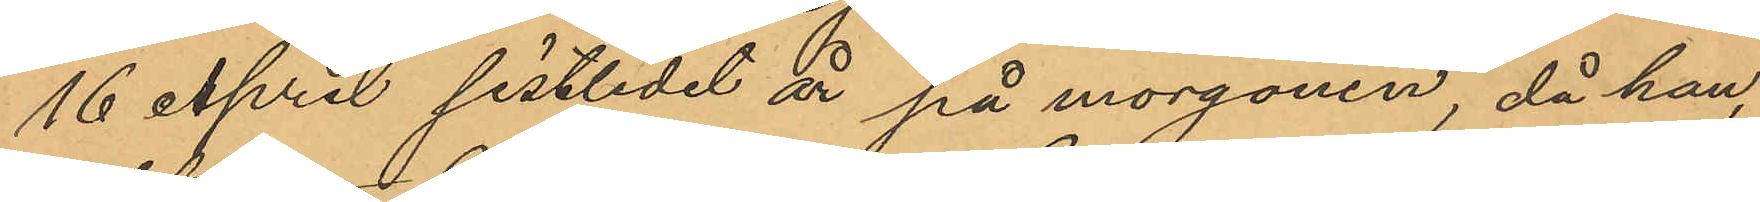16 April sistlidet år på morgonen, då han,
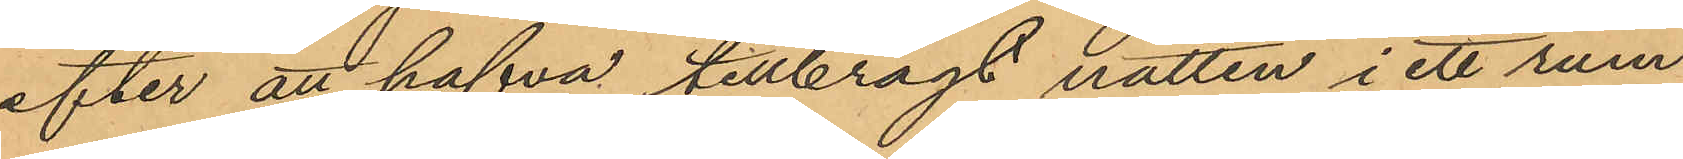efter att hafva tillbragt natten i ett rum
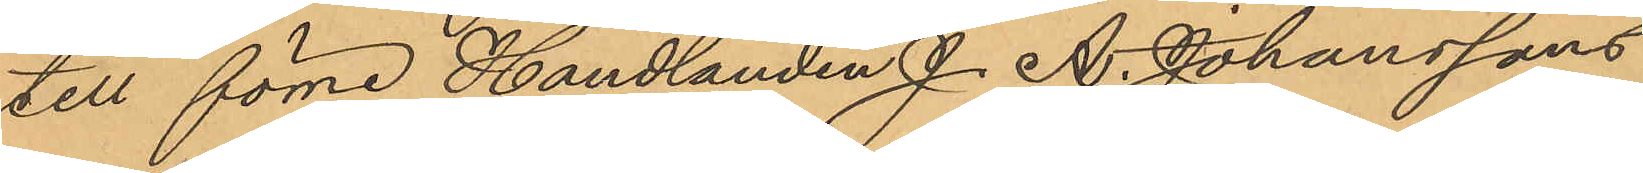till förre Handlanden J. A. Johanssons
